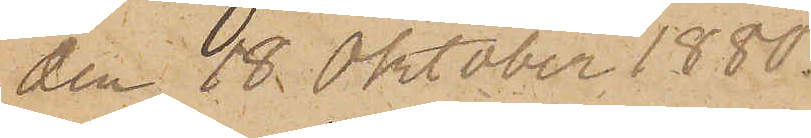den 18 Oktober 1880.
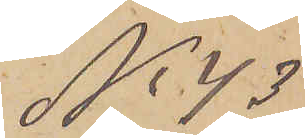No 43
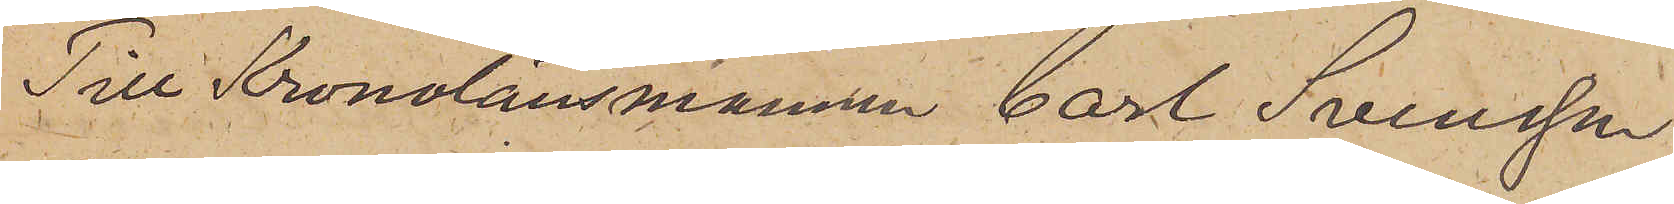Till Kronolänsmannen Carl Svensson
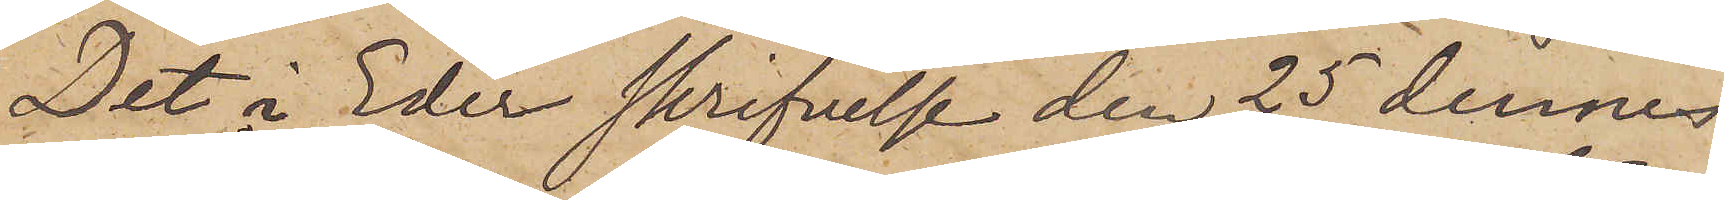Det i Eder skrifvelse den 25 dennes
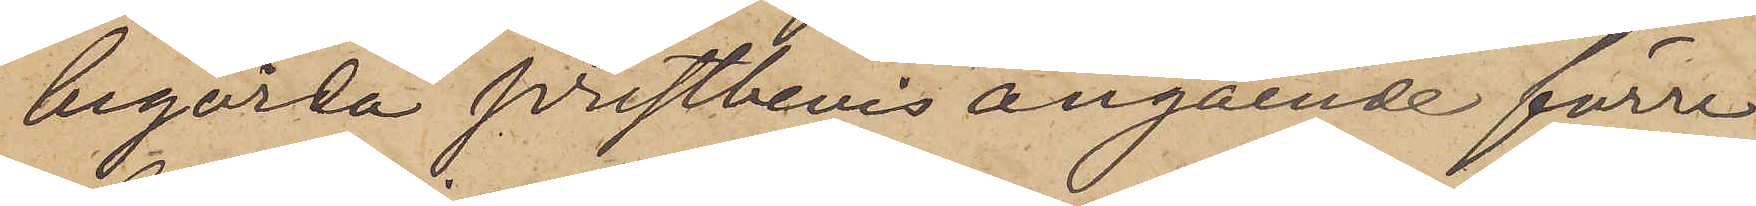begärda prestbevis angående förre
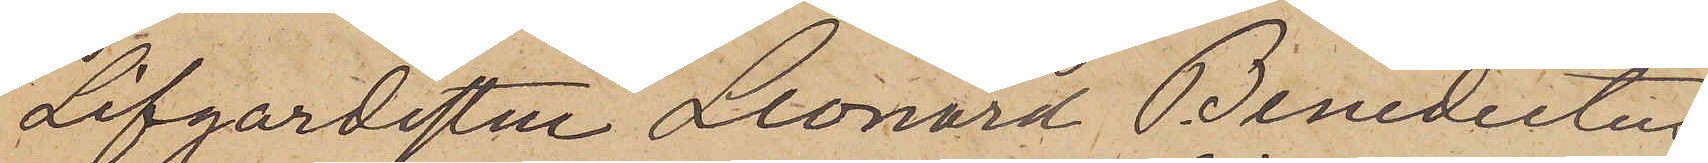Lifgardisten Leonard Benedictus
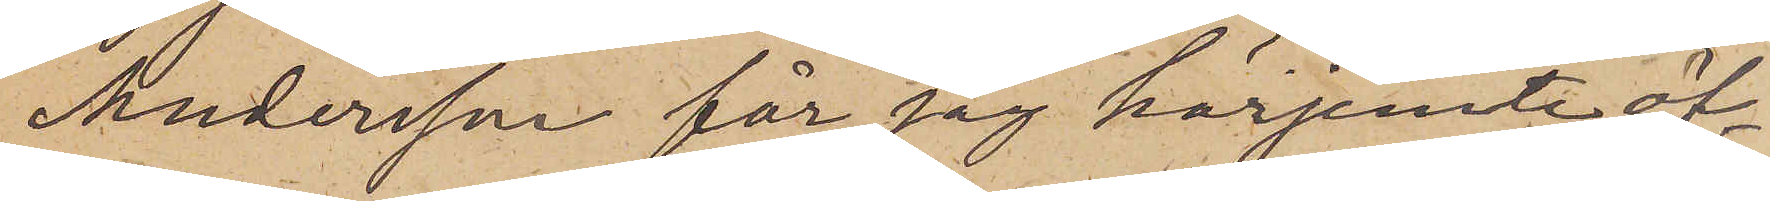Andersson får jag härjemte öf¬
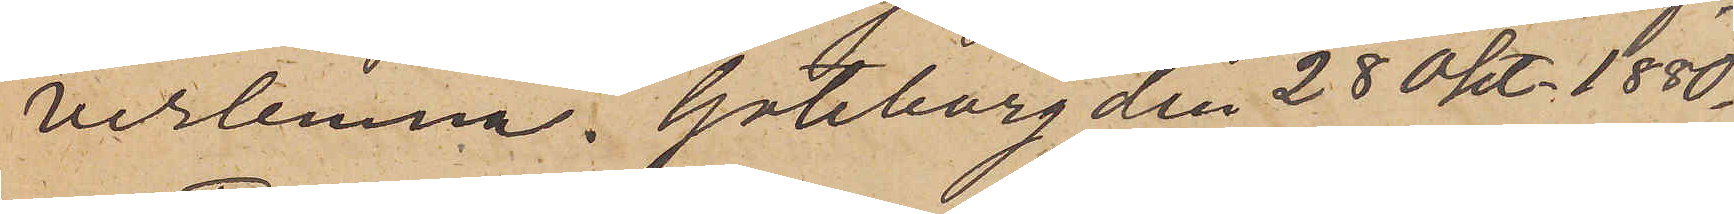verlemna. Göteborg den 28 Okt. 1880.
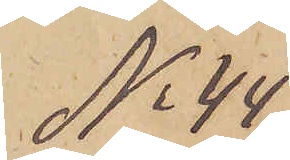No 44
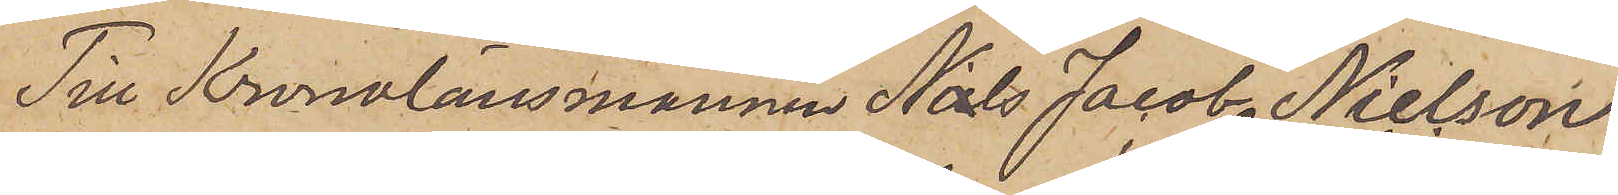Till Kronolänsmannen Nils Jacob Nielson
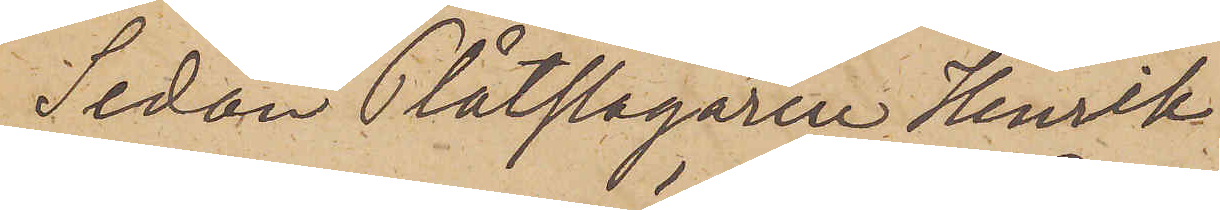Sedan Plåtslagaren Henrik
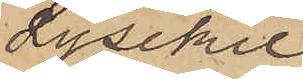i Lysekil
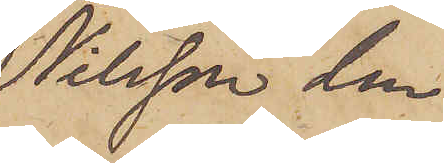Nilsson den
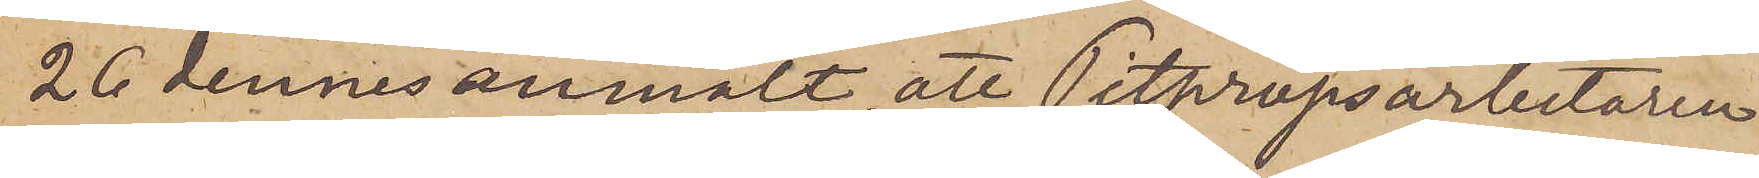26 dennes anmält, att Pitpropsarbetaren
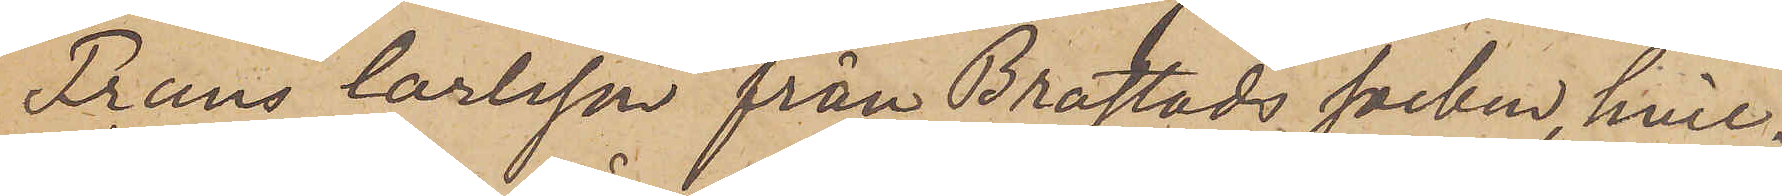Frans Carlsson från Brastads socken, hvil¬
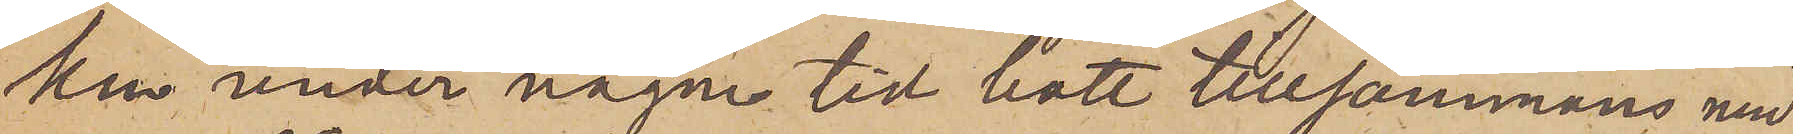ken under någon tid bott tillsammans med
